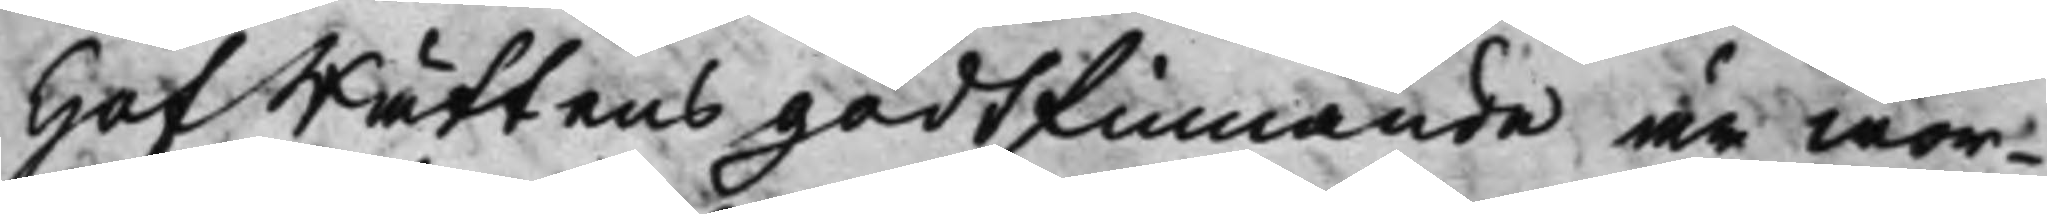HofRättens godtfinnande är wor¬
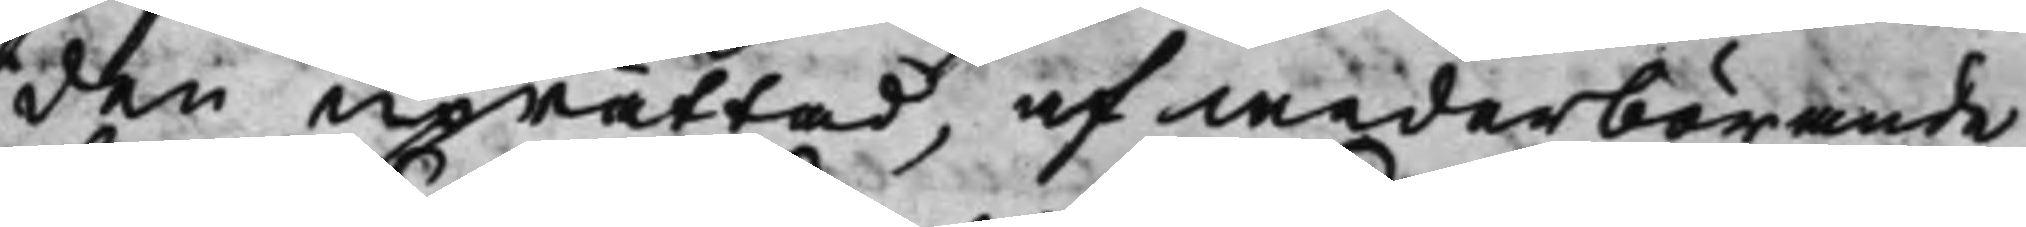den uprättad, af wederbörande
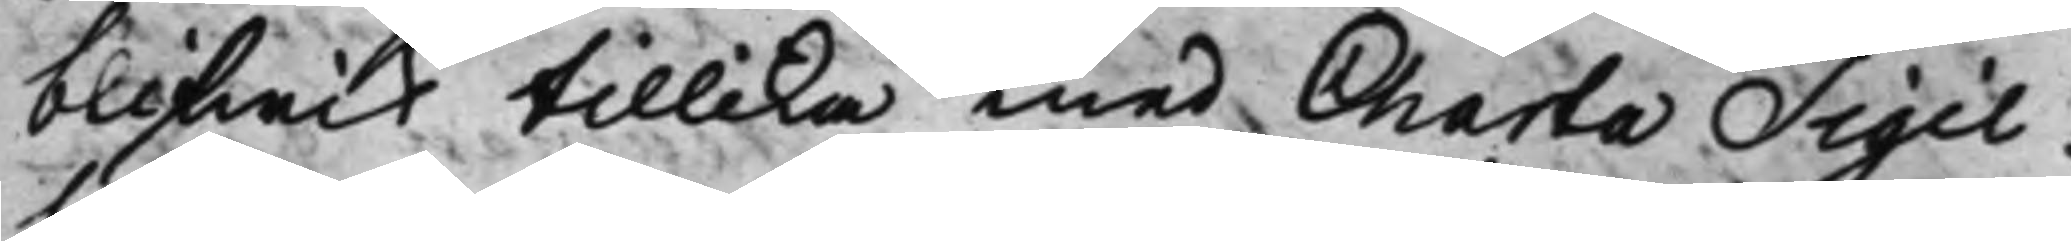blifwit tillika med Charta Sigil¬
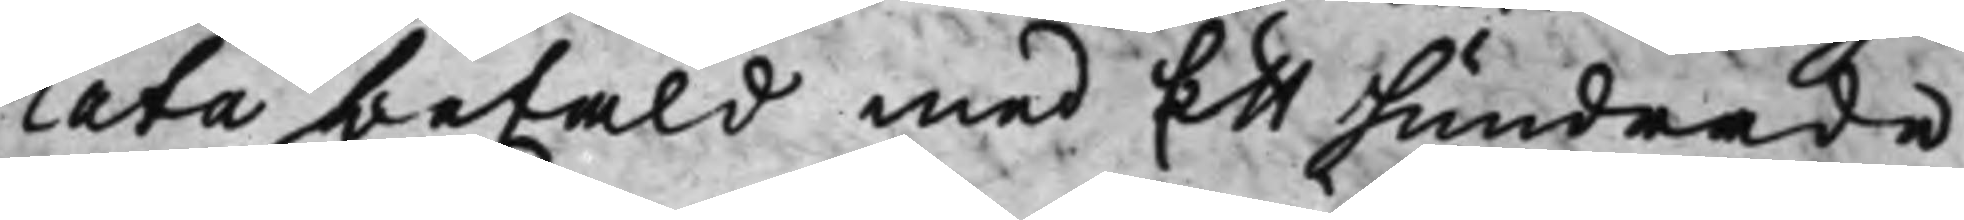lata betald med Ett hundrade
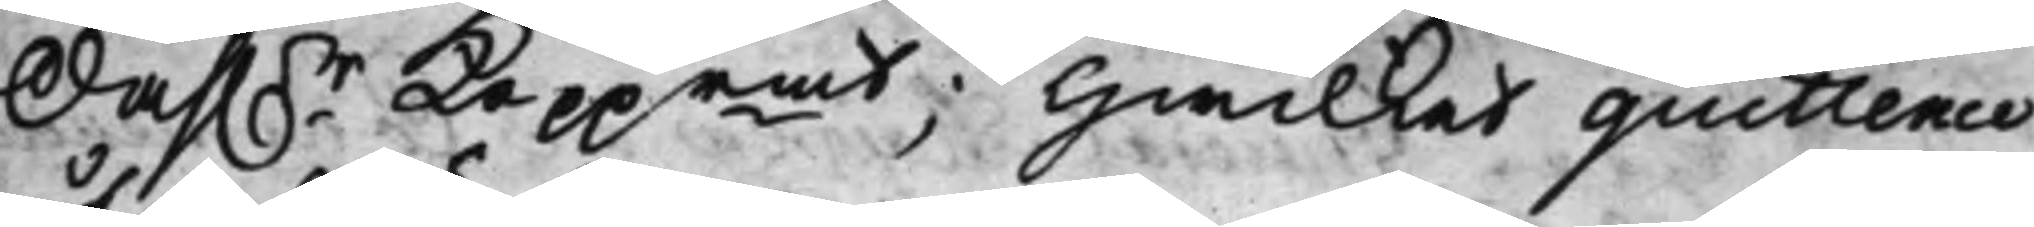Dahl.r Kopprmt; Hwilket quittence
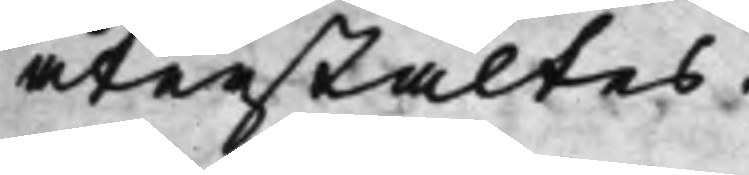återstältes.
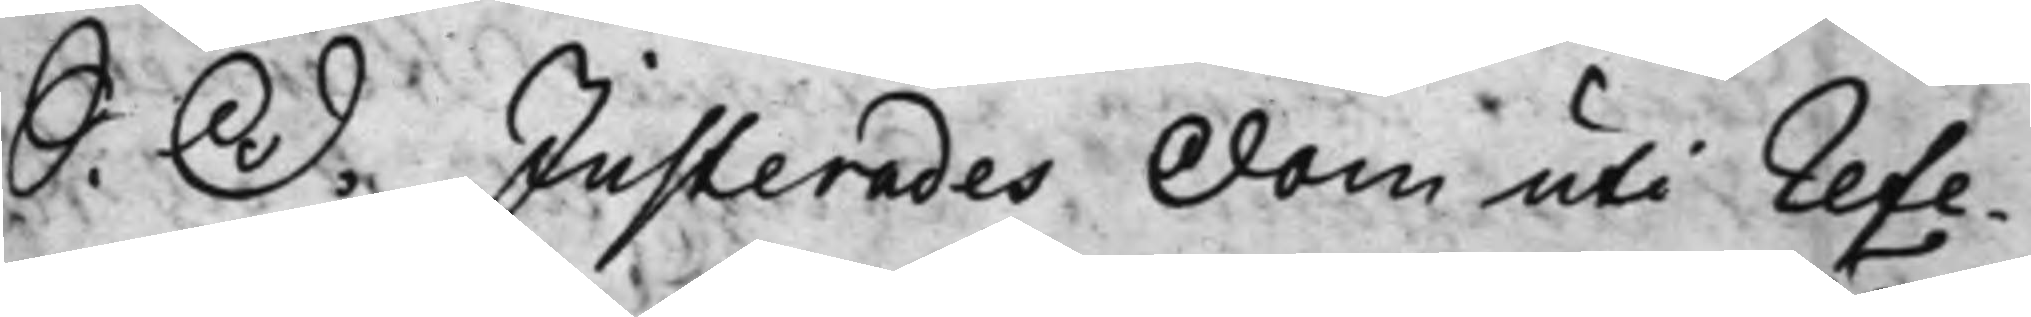S. D. Justerades Dom uti Refe¬
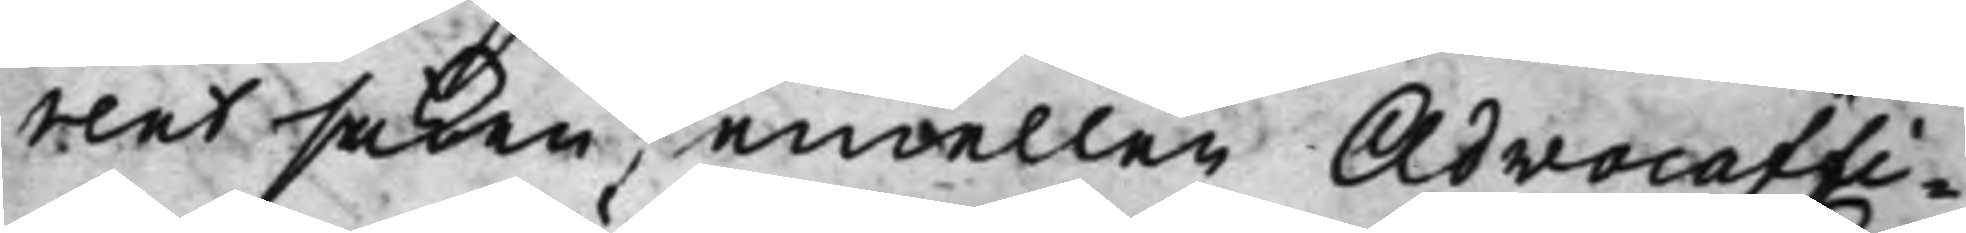rentsaken, emellan Advocatfi¬
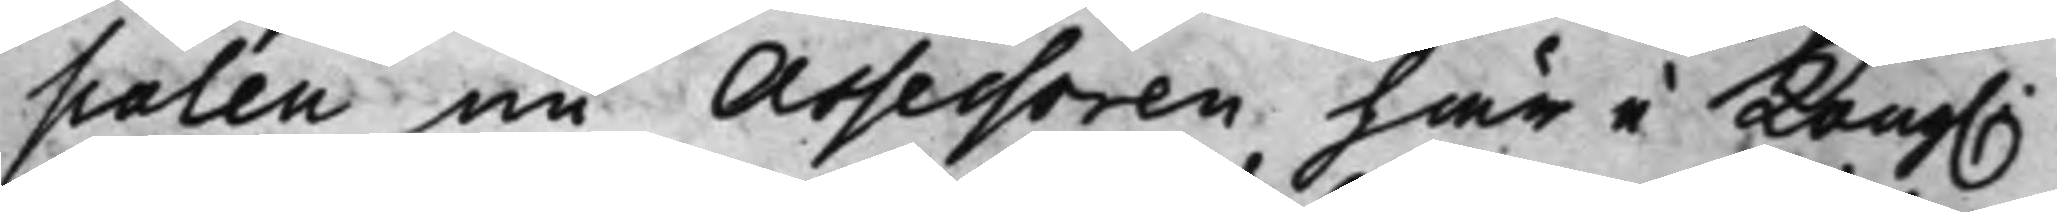scalen nu Assessoren här i Kong.
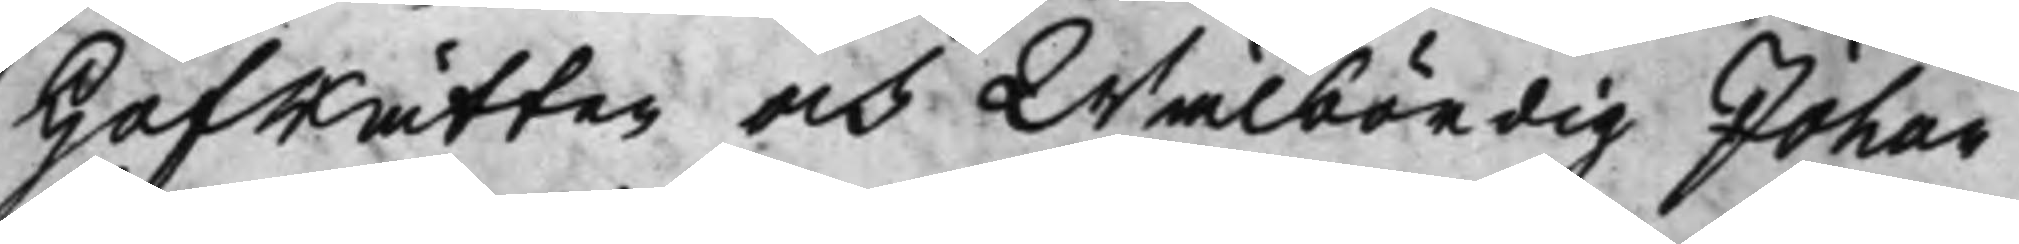Hofrätten och Wälbördig Johan
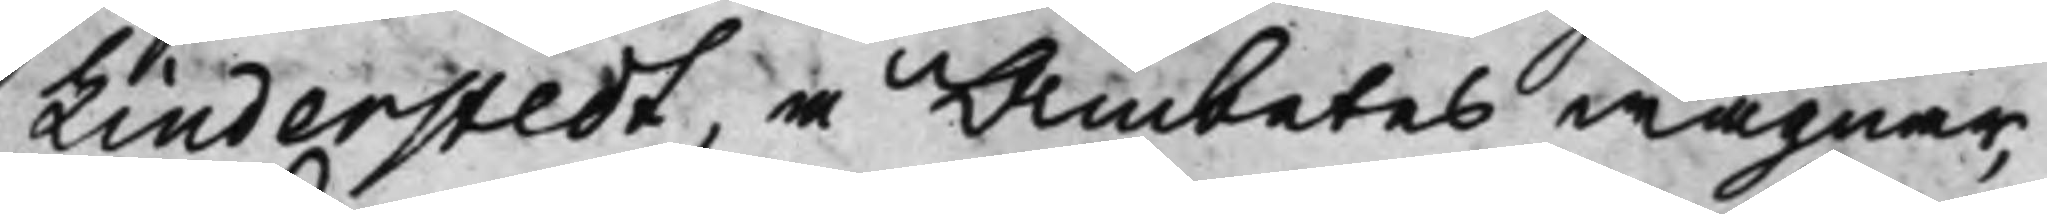Linderstedt, å Ämbetes wägnar,
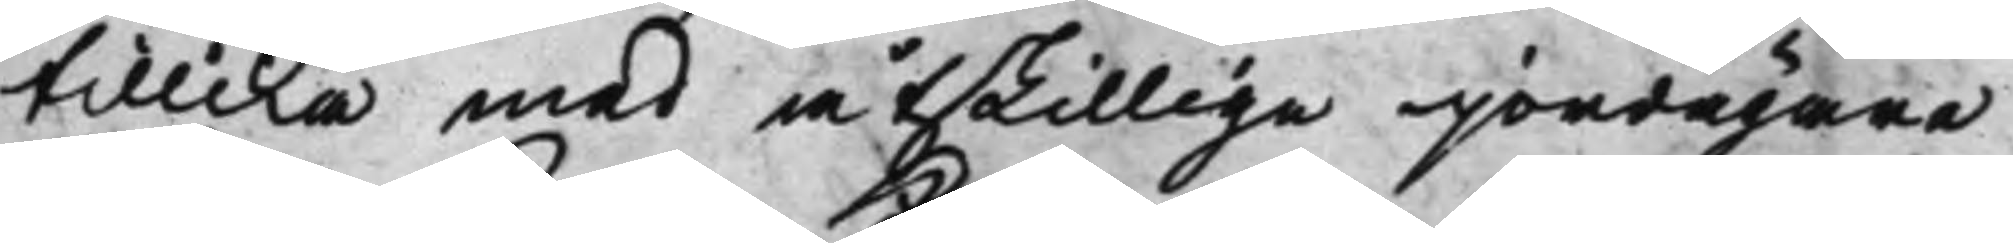tillika med åtskillige jordägare
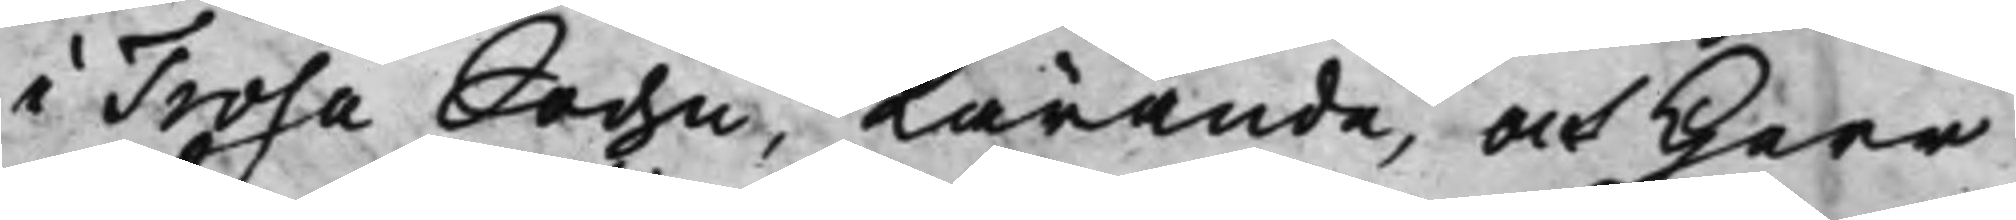i Trosa Sochn, Kärande, och Herr
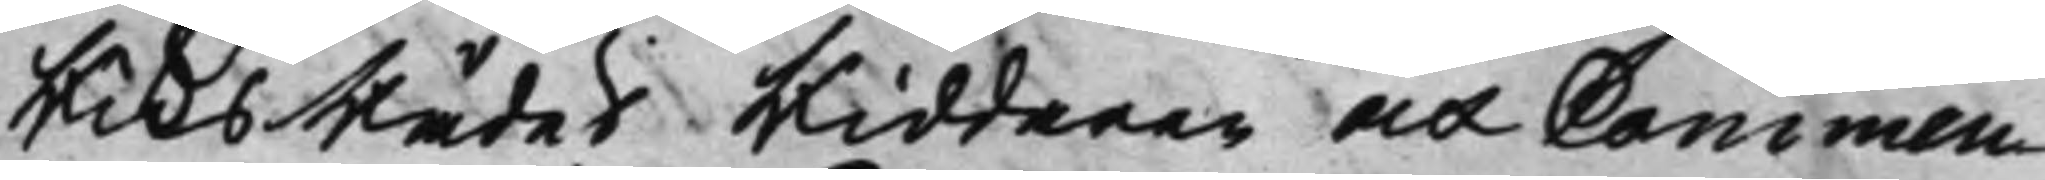RiksRådet Riddaren och Commen¬
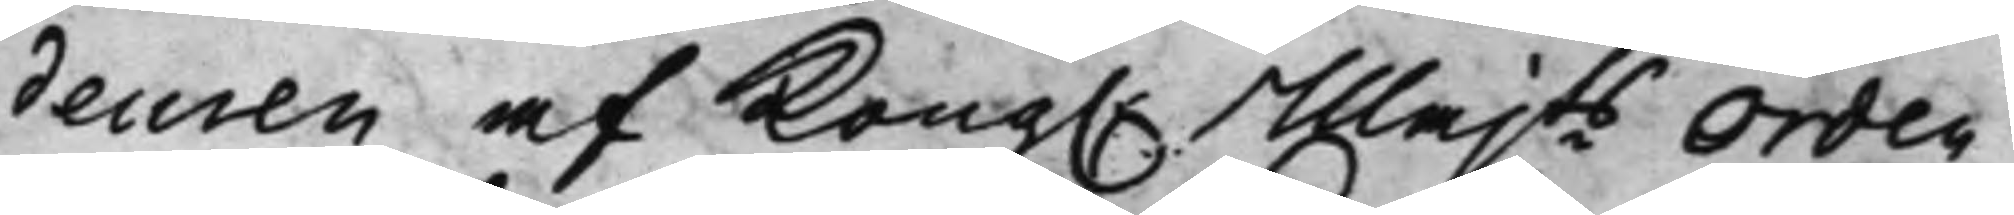deuren af Kong. Majts Orden
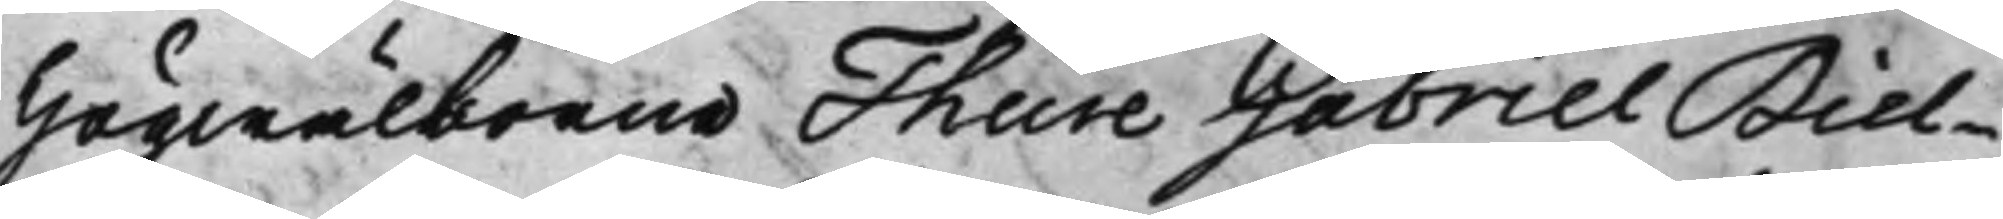Högwälborne Thure Gabriel Biel¬
